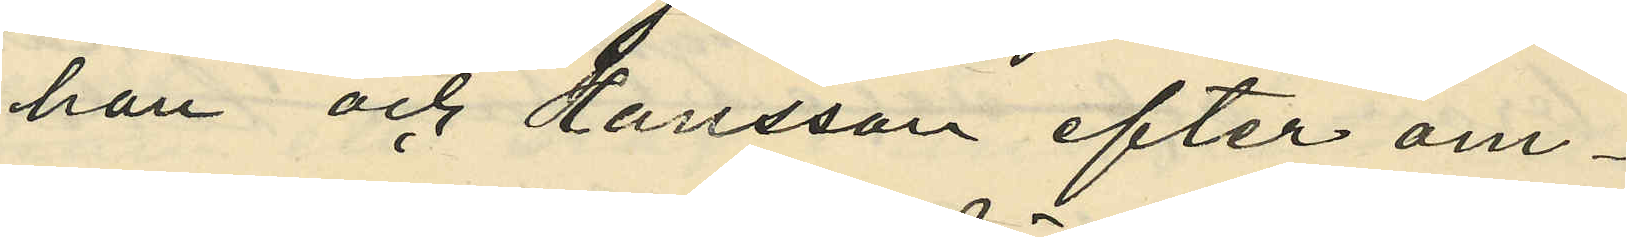han och Hansson efter om¬
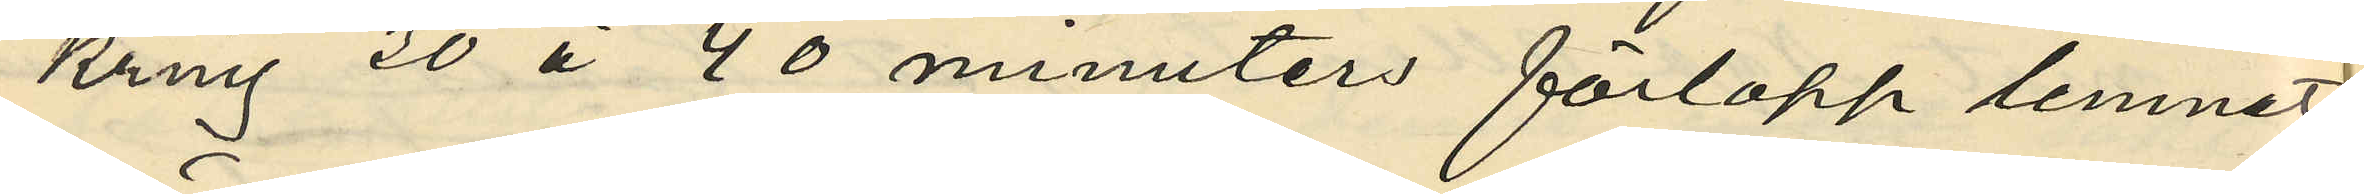kring 30 à 40 minuters förlopp lemnat
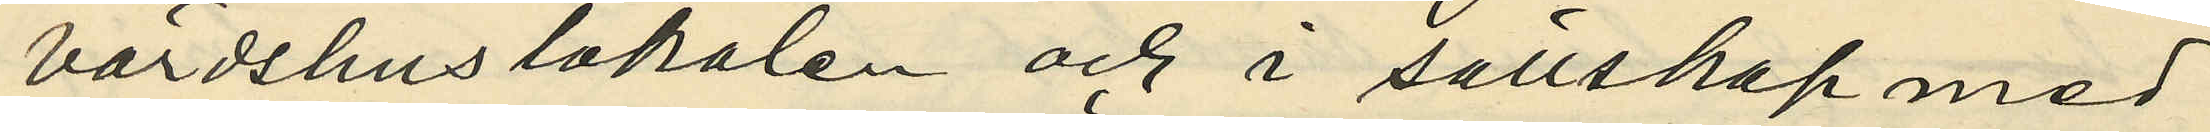värdshuslokalen och i sällskap med
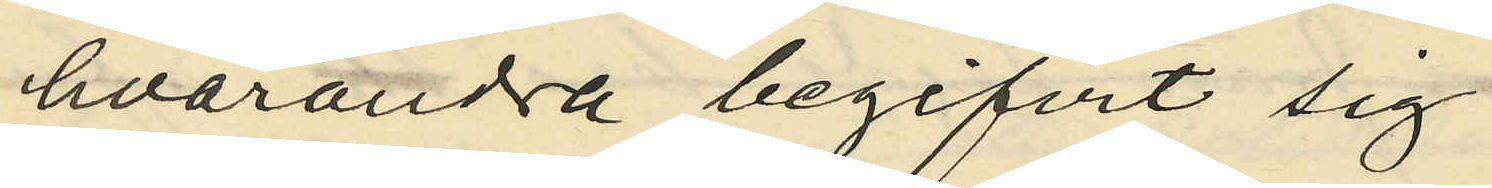hvarandra begifvit sig
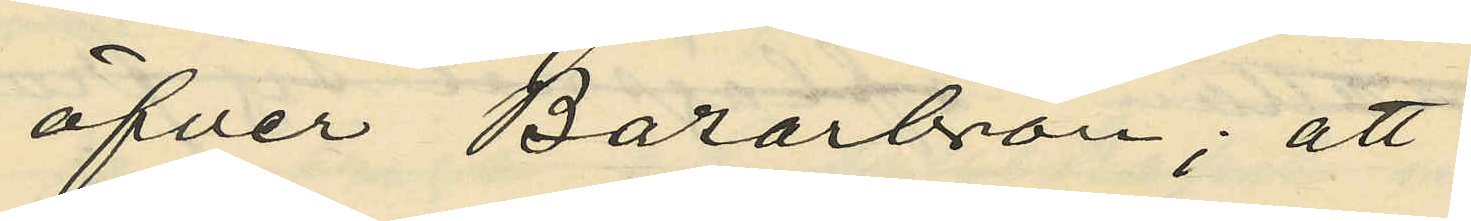öfver Bazarbron; att
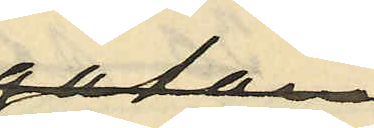sedan
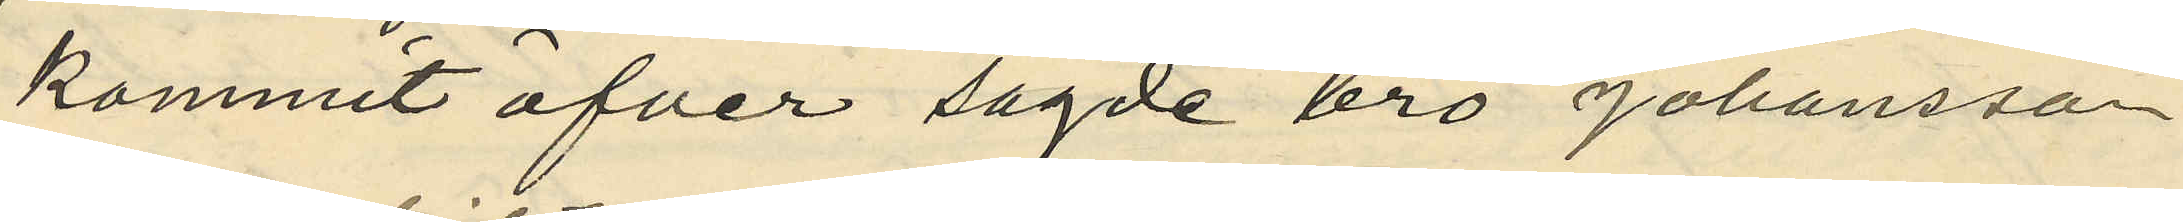kommit öfver sagde bro Johansson
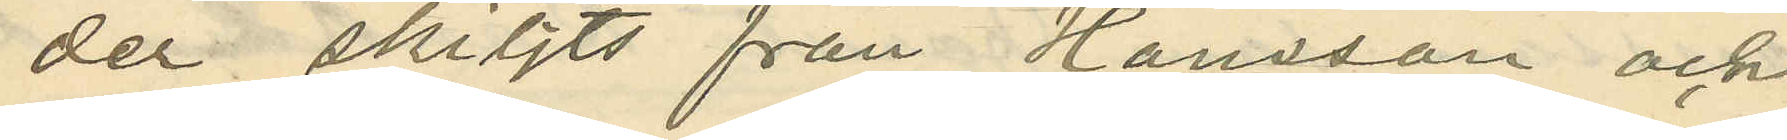der skiljts från Hansson och
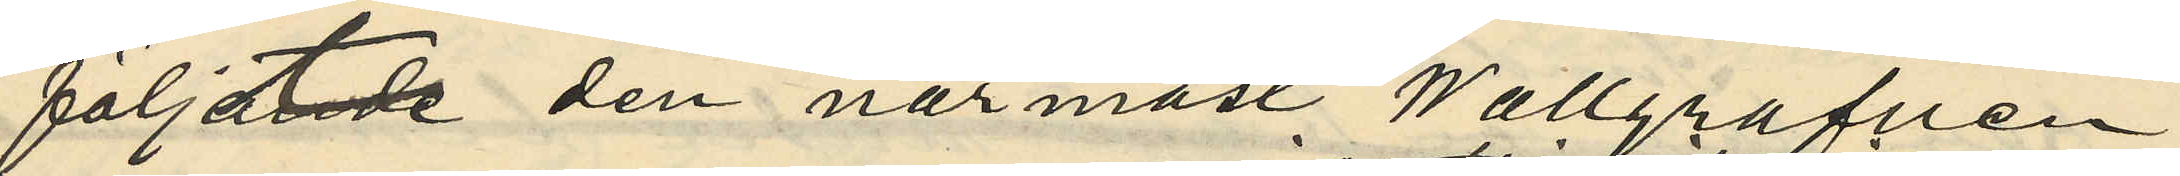följt den närmast Wallgrafven
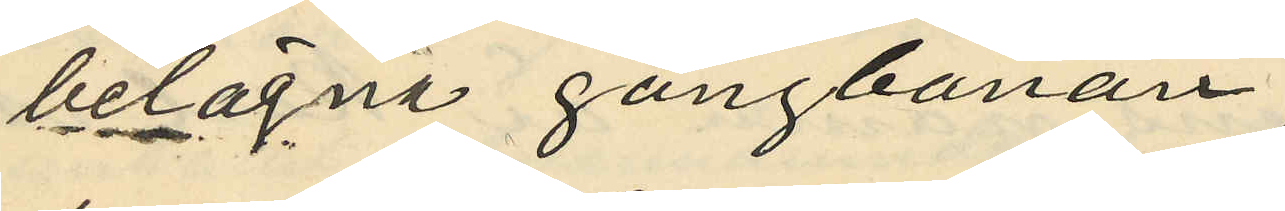belägna gångbanan
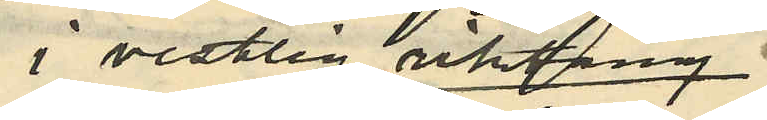i vestlig riktning;
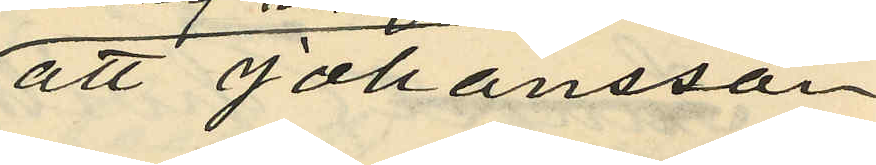att Johansson
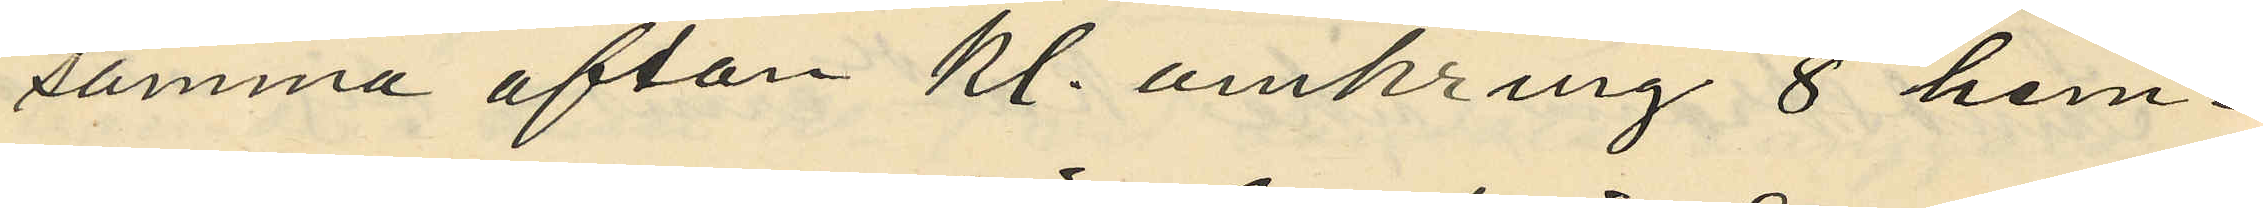samma afton kl. omkring 8 hem¬
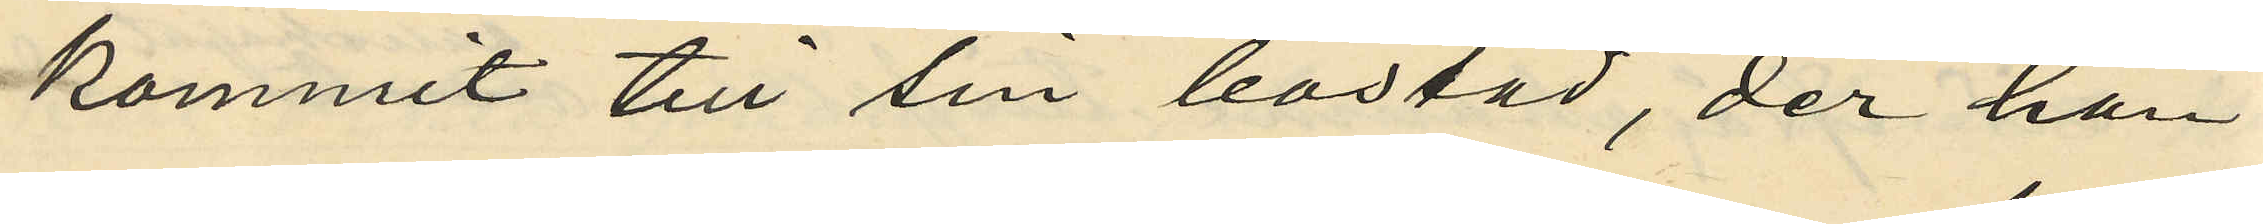kommit till sin bostad, der han
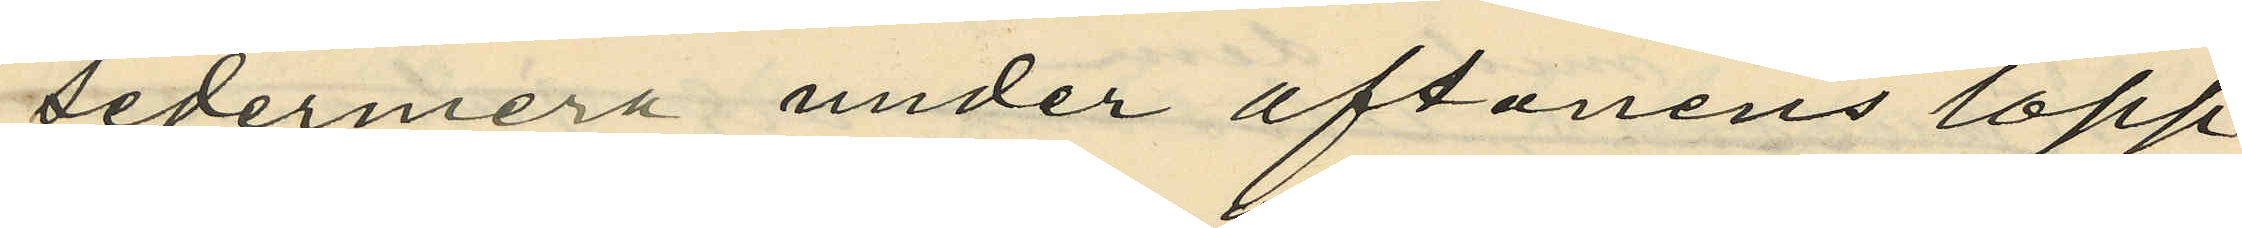sedermera under aftonens lopp
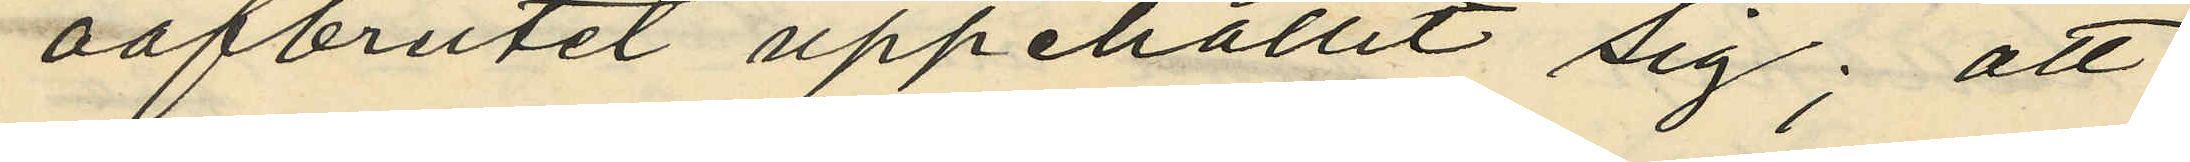oafbrutet uppehållit sig; att
